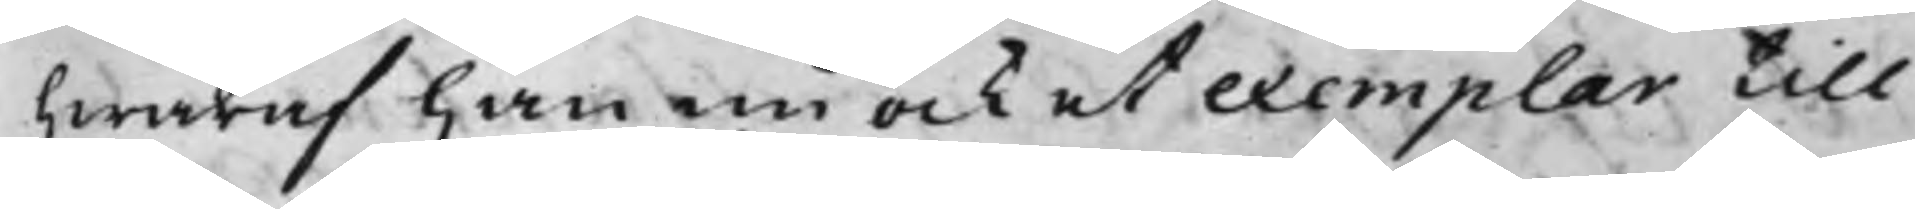hwaraf han nu ock et exemplar till
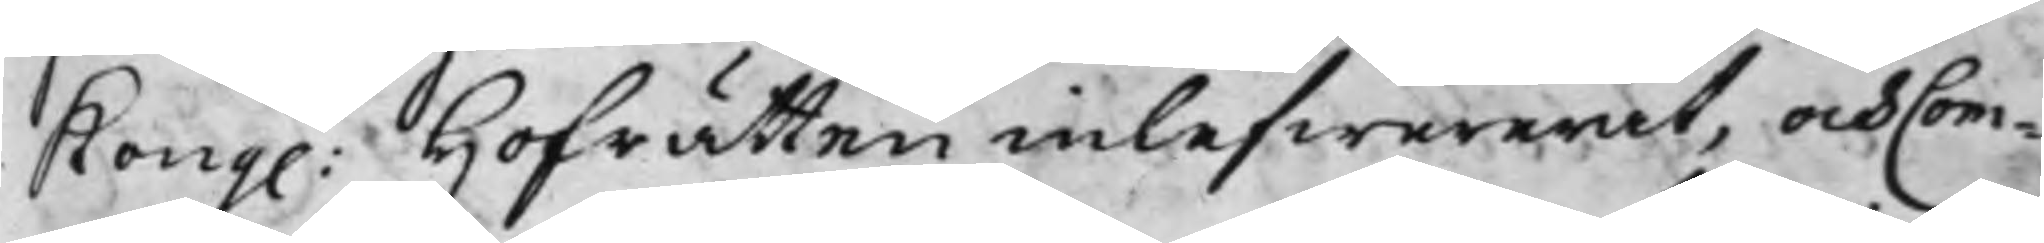Kong. Hofrätten inlefwererat, och Com¬
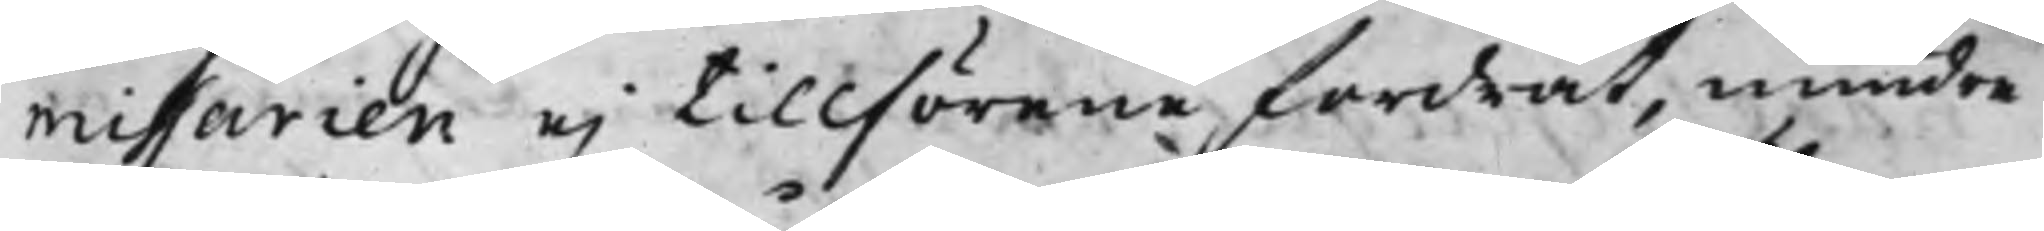missarien ej tillförene fordrat, mindre
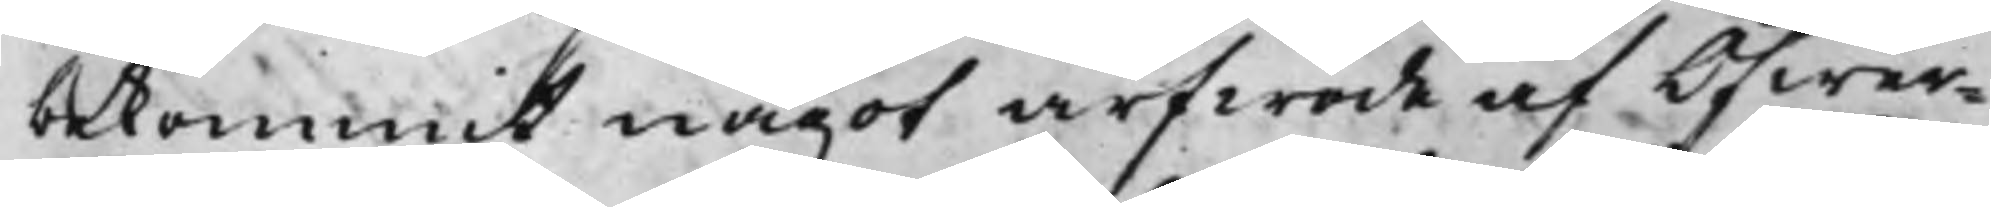bekommit något arfwode af Öfwer¬
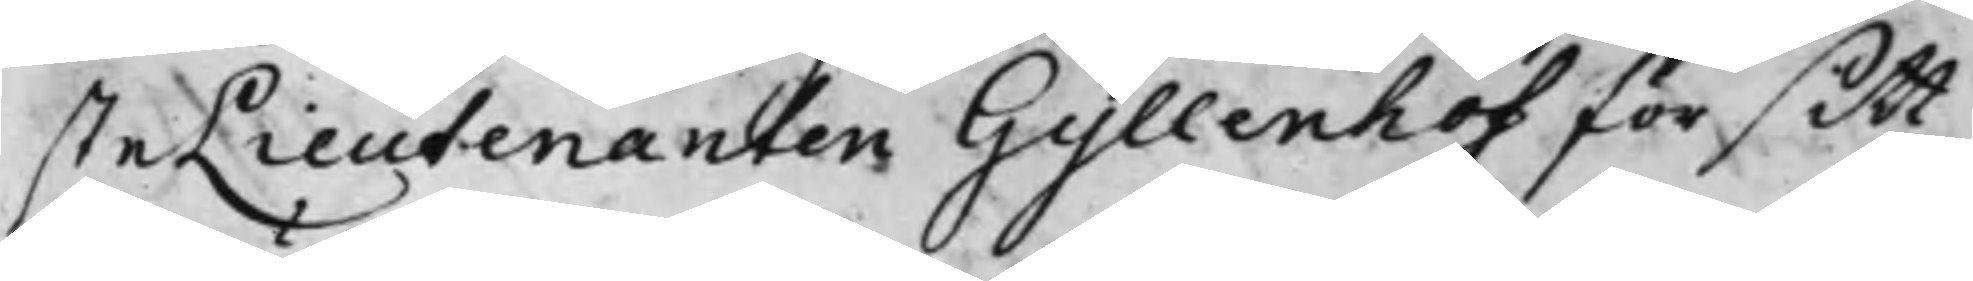steLieutenanten Gyllenhof för sitt
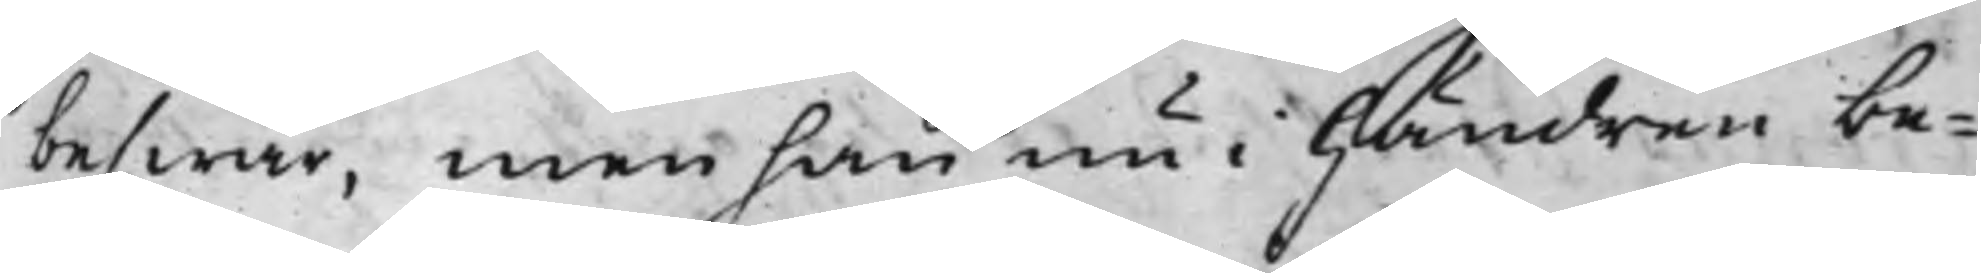beswär, men han nu i Händren be¬
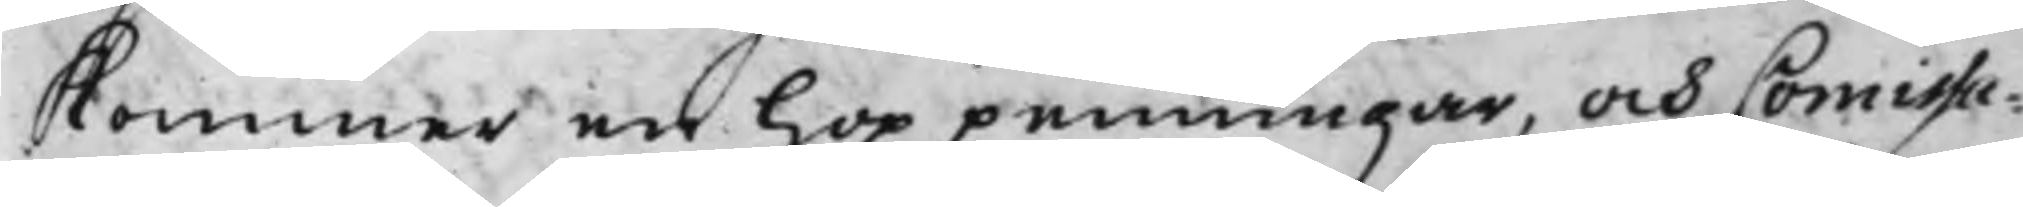kommer en hop penningar, och Comissa¬
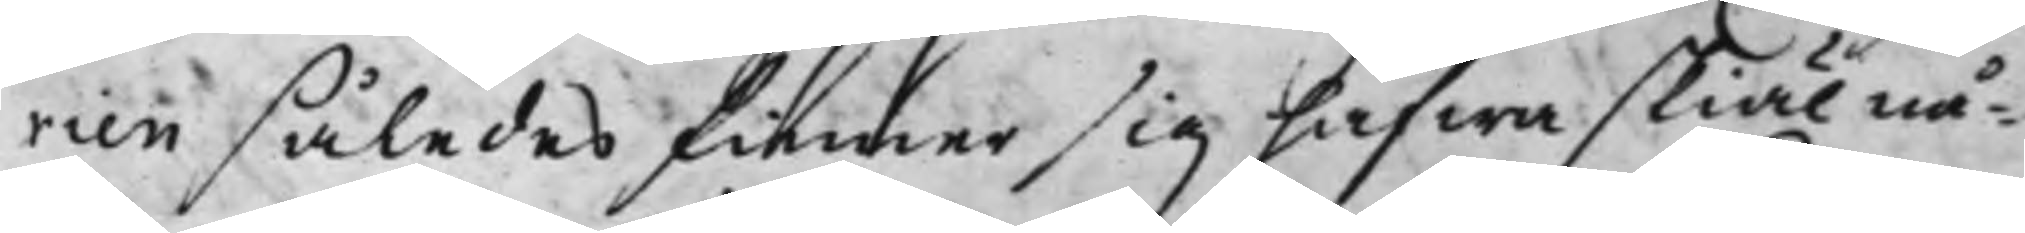rien således finner sig hafwa skiäl nå¬
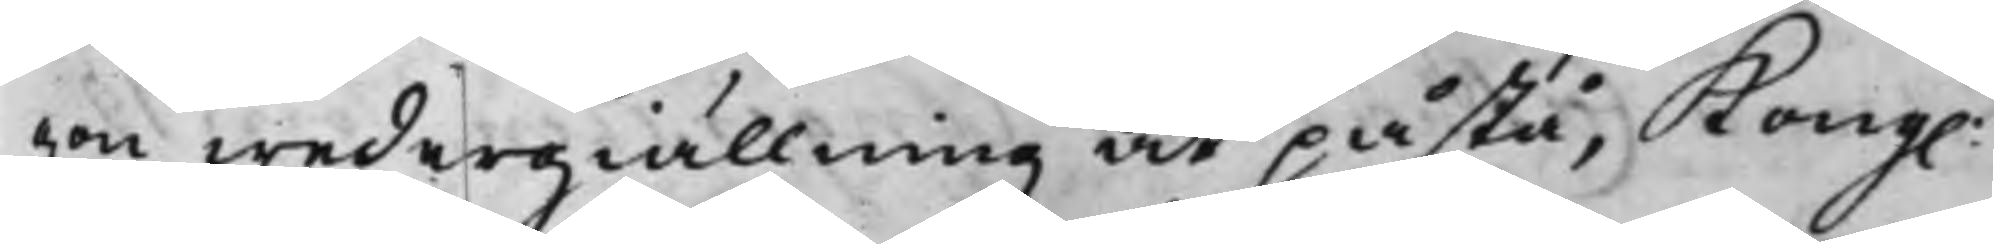gon wedergiällning at påstå, Kong.
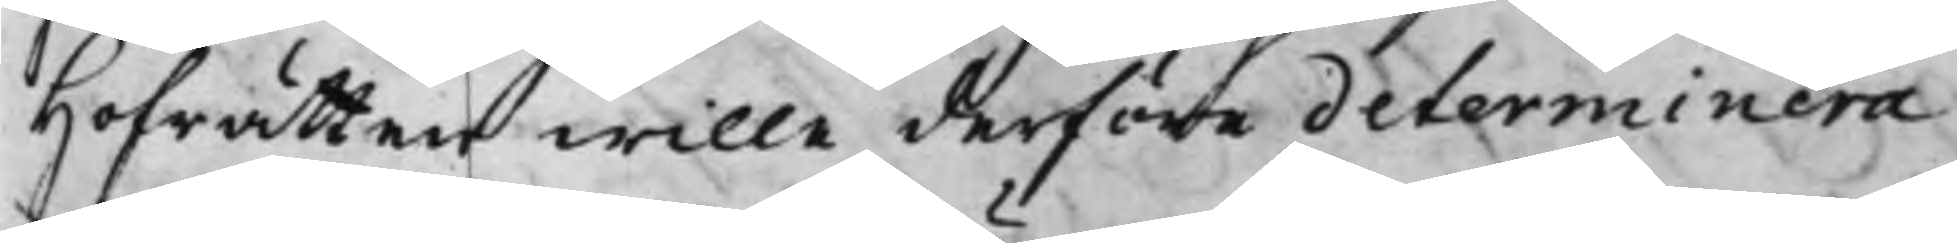Hofrätten wille derföre determinera
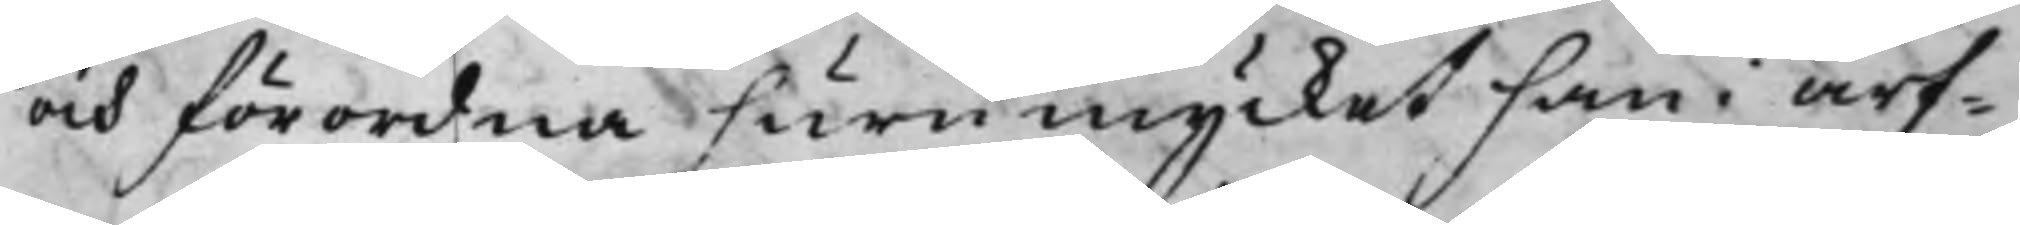och förordna huru mycket han i arf¬
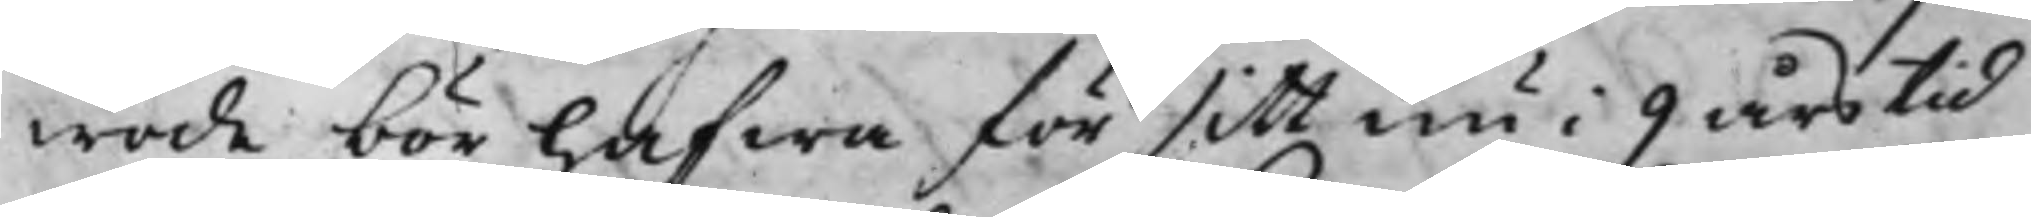wode bör hafwa för sitt nu i 9 års tid
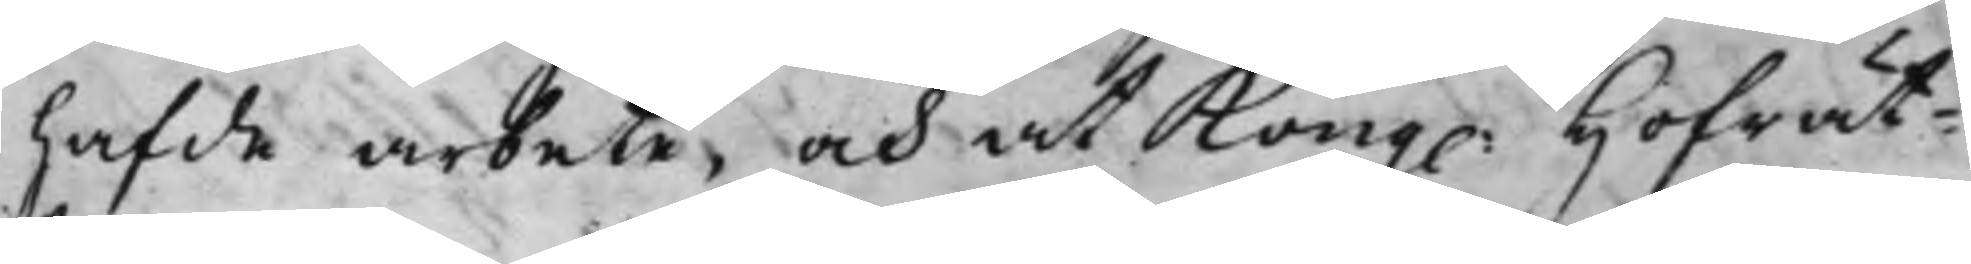hafde arbete, och at Kong. Hofrät¬
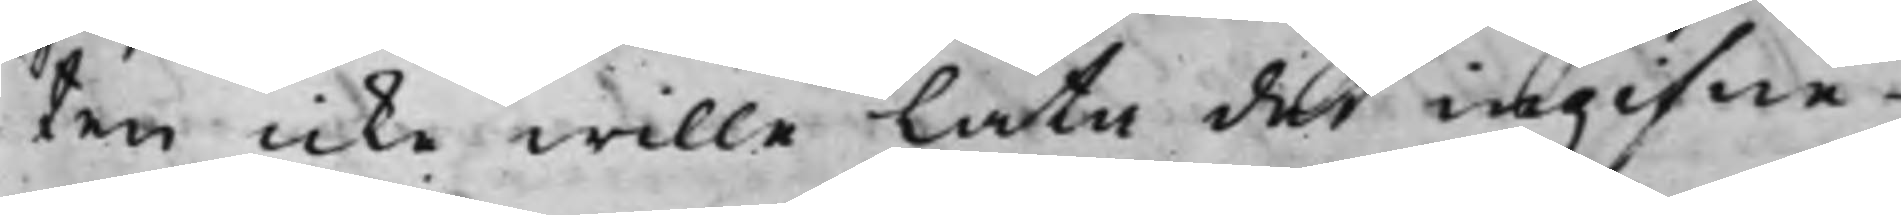ten icke wille låta det ingifne
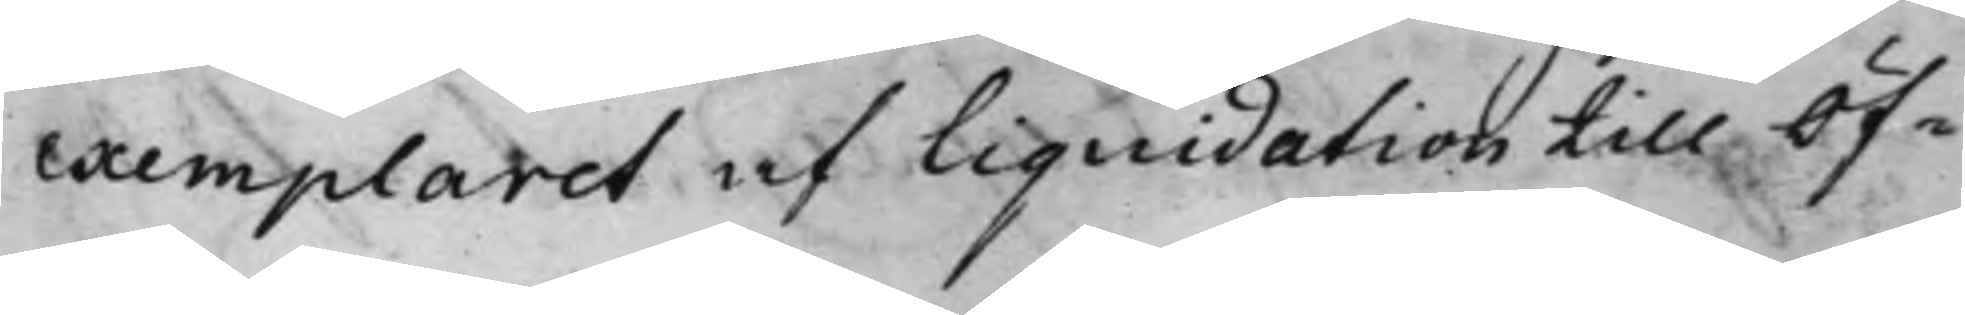exemplaret af Liquidation till öf¬
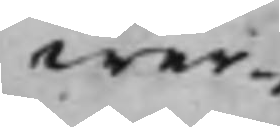wer¬
